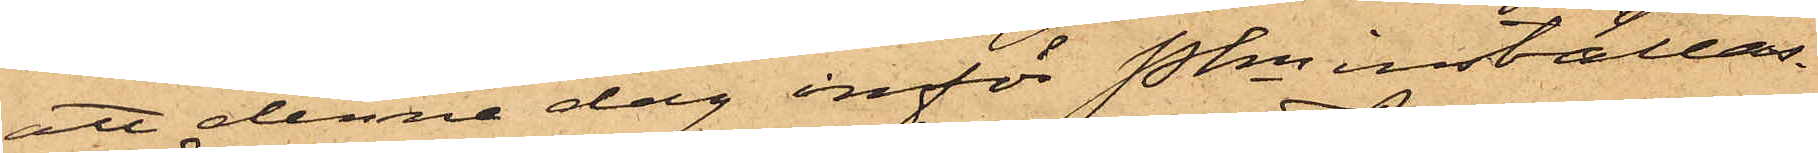att denna dag inför Pkn inställas.
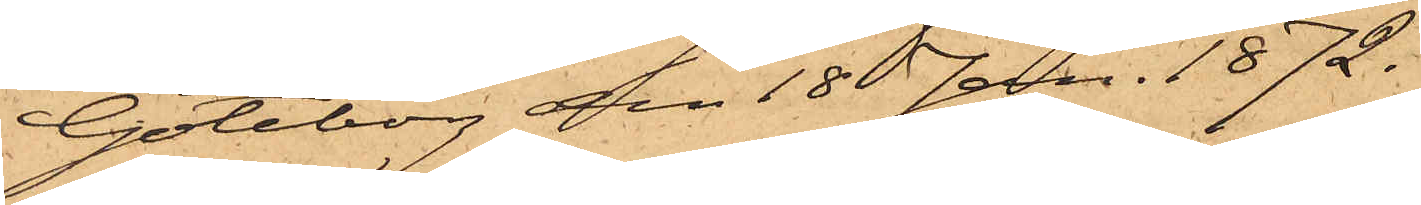Göteborg den 18 Jan. 1872.
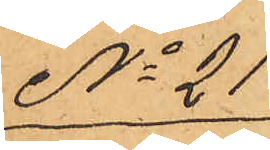No 21
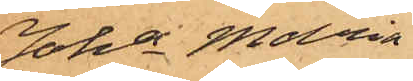Joha Maria
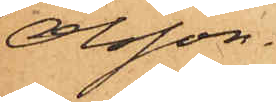Olsson.
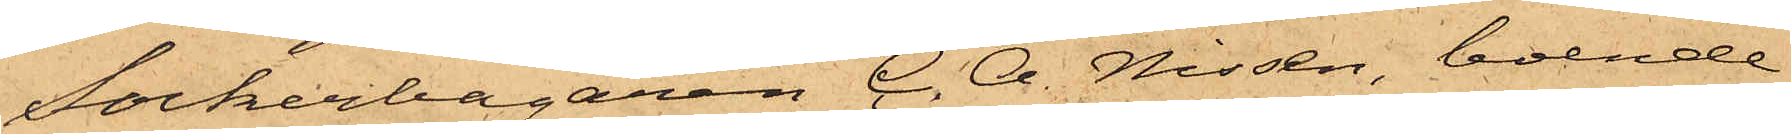Sockerbagaren C. A. Nissen, boende
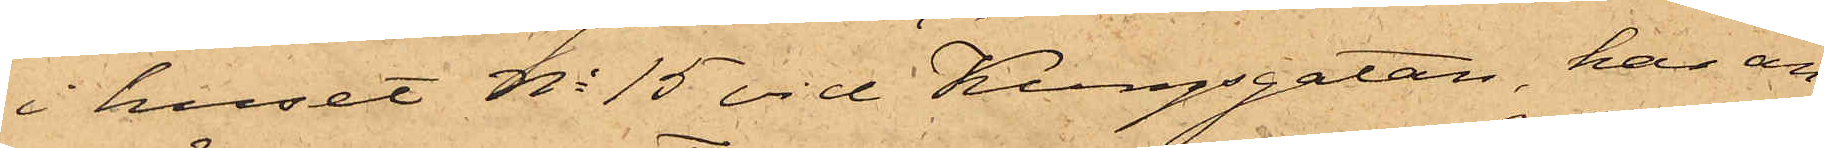i huset No 15 vid Kungsgatan, har an¬
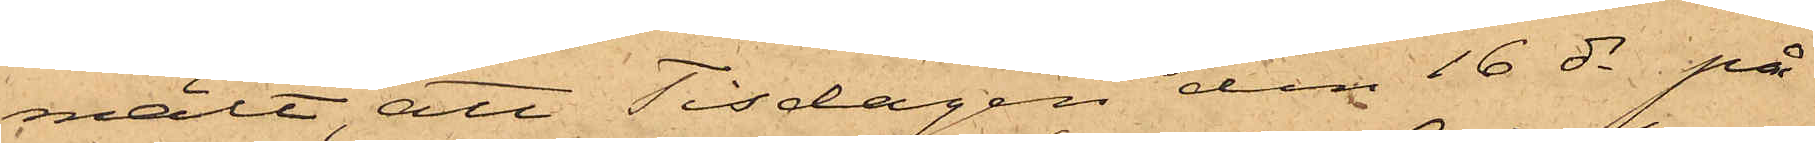mält, att Tisdagen den 16 ds på
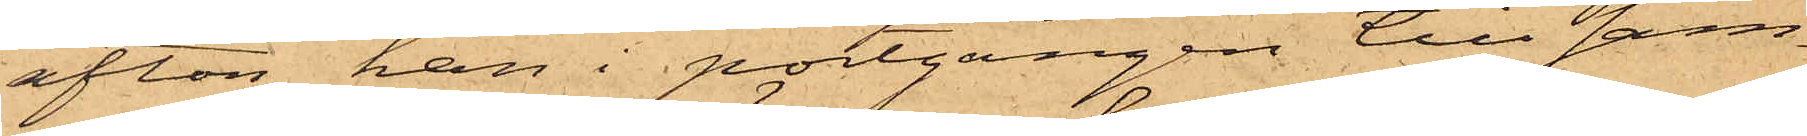afton han i portgången till sam¬
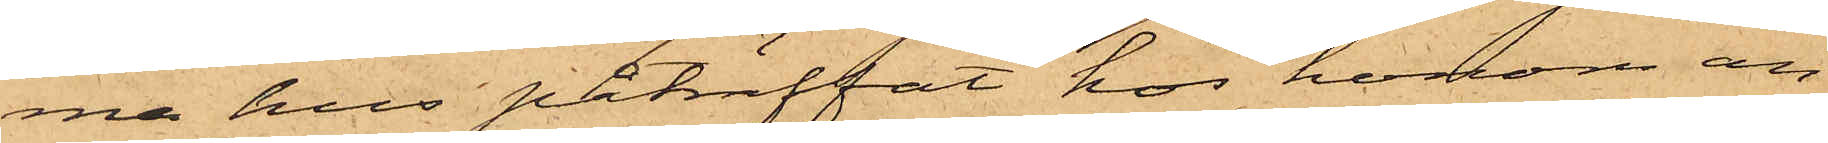ma hus påträffat hos honom an¬
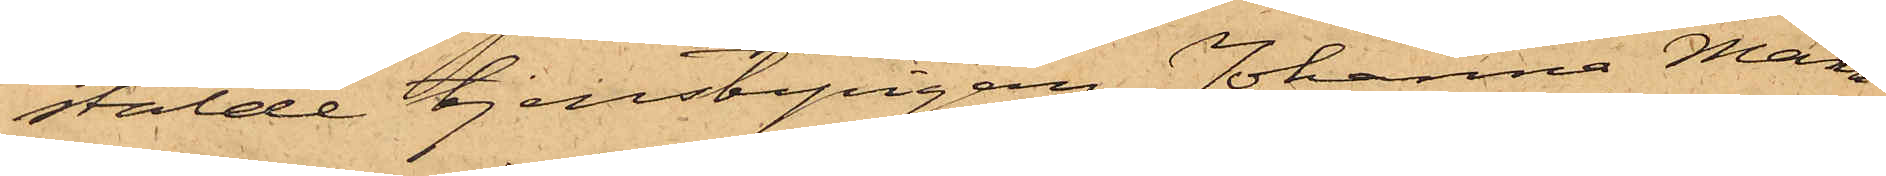stälde tjenstepigan Johanna Maria
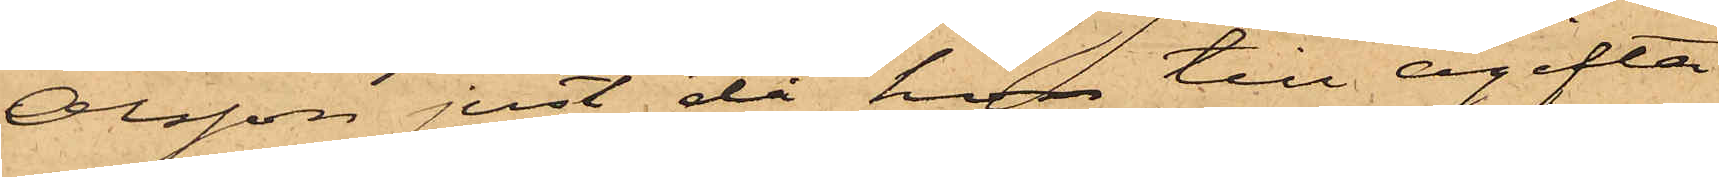Olsson just då hon till ogifta
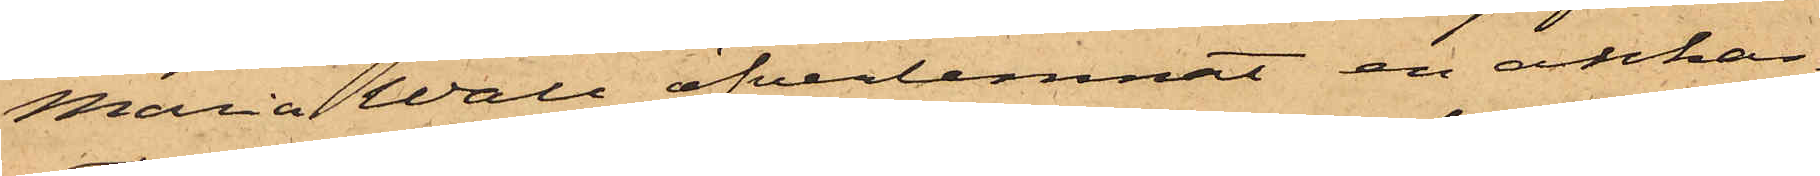Maria Wall öfverlemnat en ankar¬
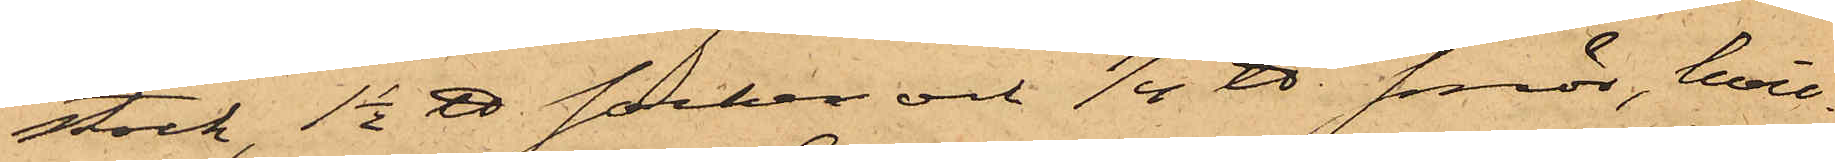stock, 1 1/2 ℔ socker och 1/4 ℔ smör, hvil¬
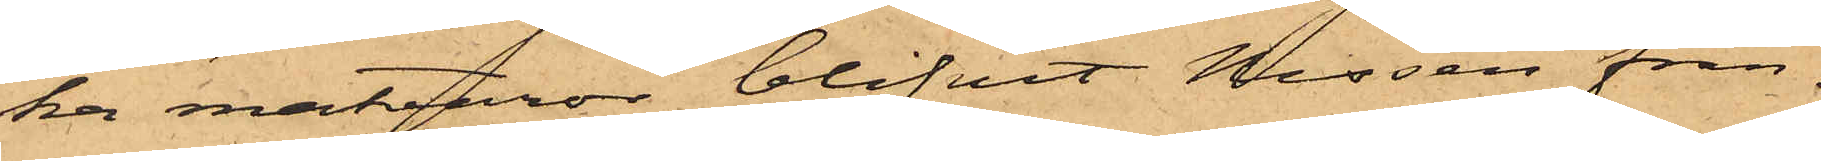ka matvaror blifvit Nissen från
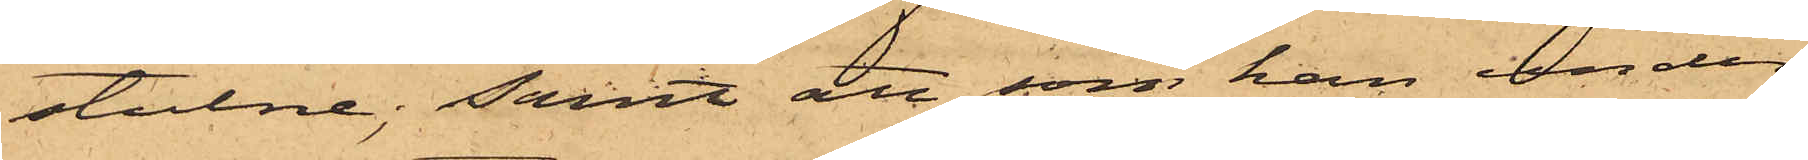stulne; samt att som han under
